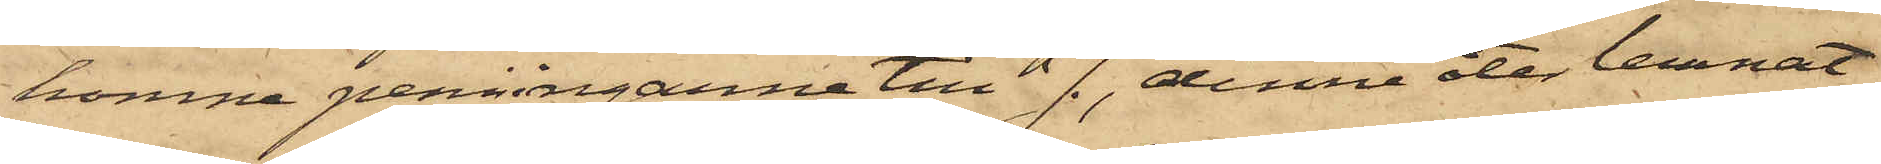komne penningarne till J., denne åter lemnat
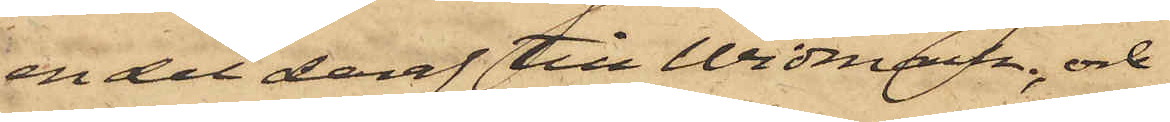en del deraf till Widmark: och
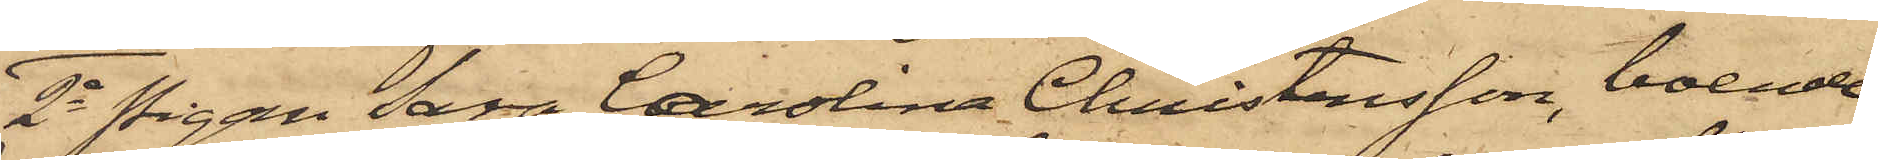2o Pigan Sara Carolina Christensson, boende
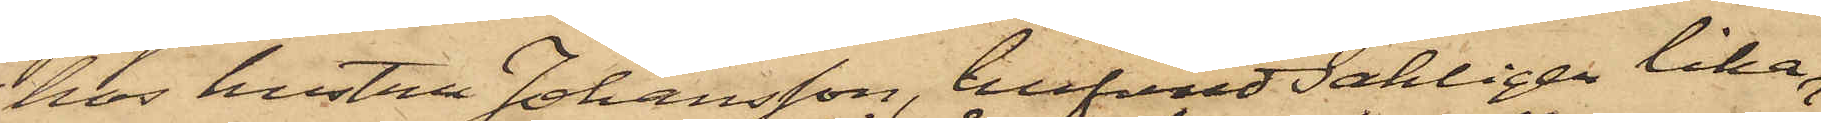hos hustru Johansson, hufvudsakligen lika
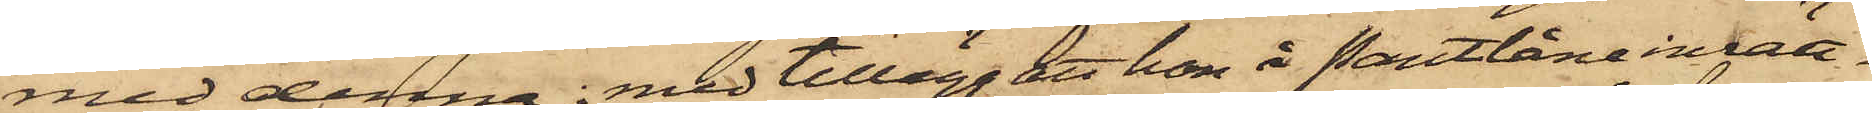med denna; med tillägg att hon å Pantlåneinrätt¬
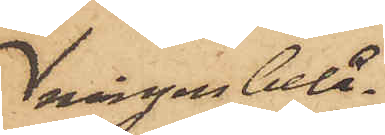ningen belå¬
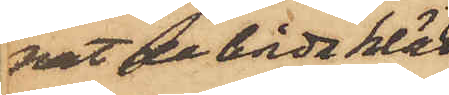nat de båda kläd¬
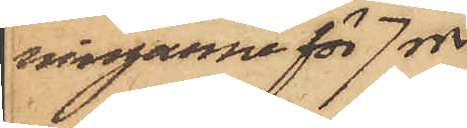ningarna för 7 rdr.
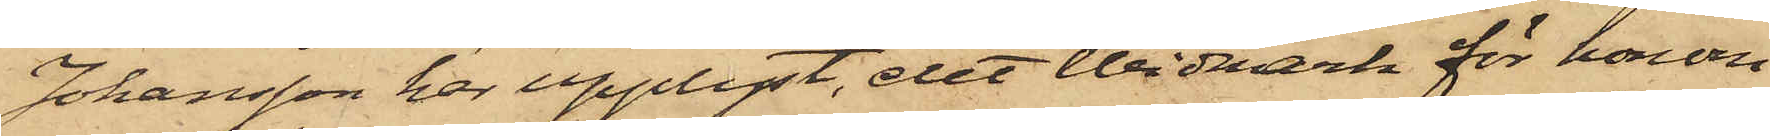Johansson har upplyst, att Widmark för honom
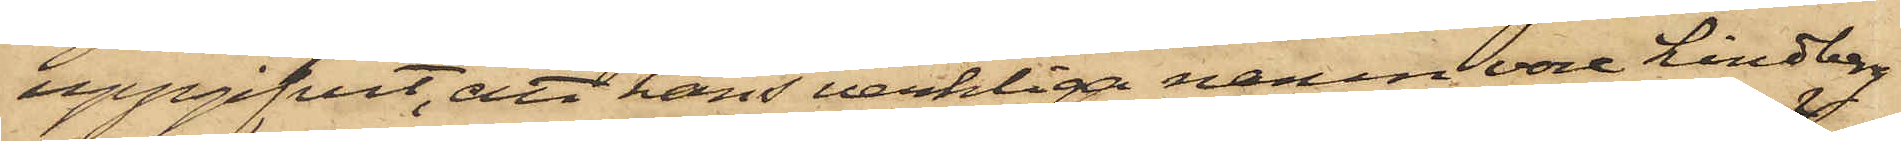uppgifvit, att hans verkliga namn vore Lindberg
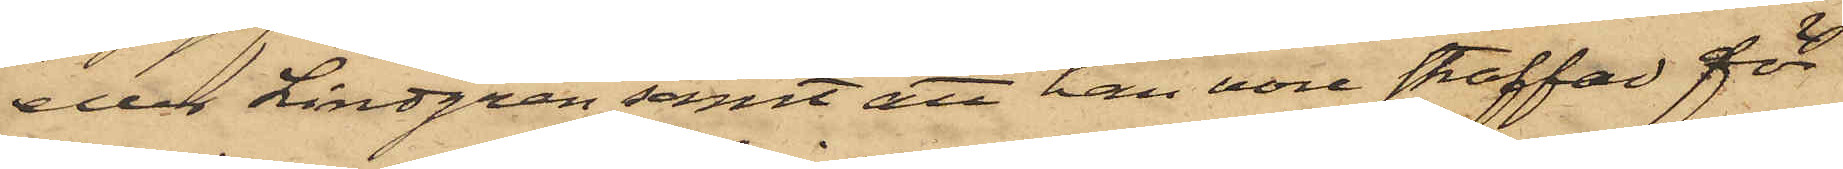eller Lindgren samt att han vore straffad för
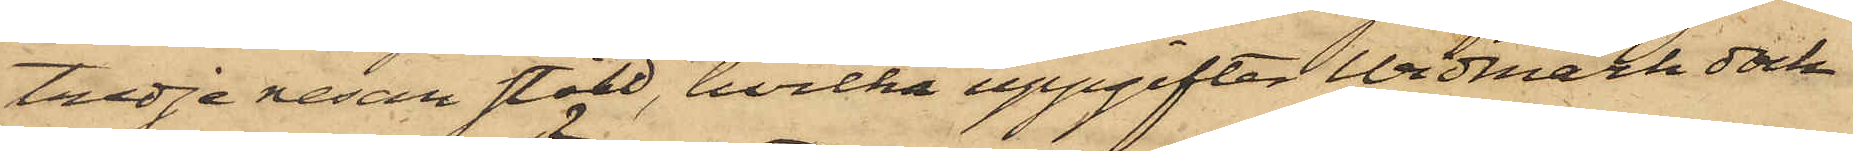tredje resan stöld, hvilka uppgifter Widmark dock
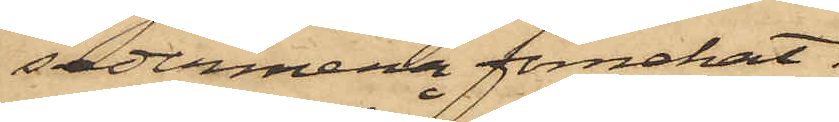sedermera förnekat.
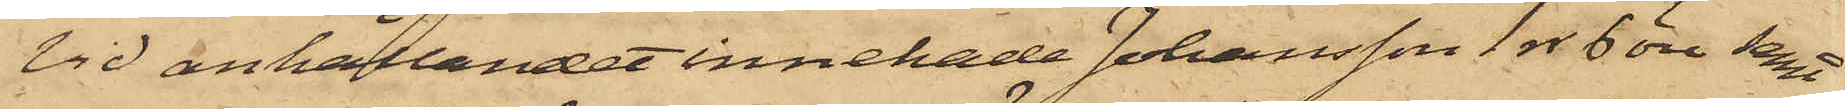Vid anhållandet innehade Johansson 1 rr 6 öre samt
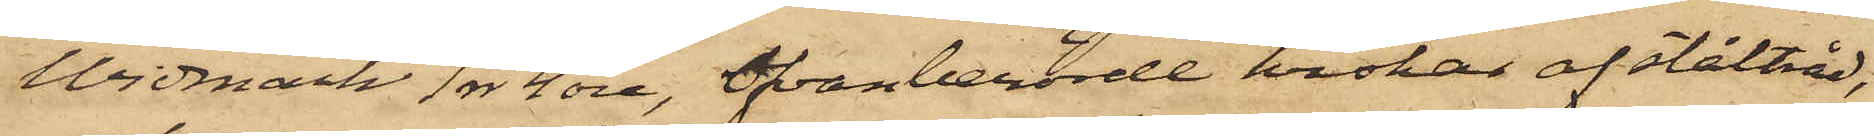Widmark 1 rr 4 öre, ofvanberörde krokar af ståltråd,
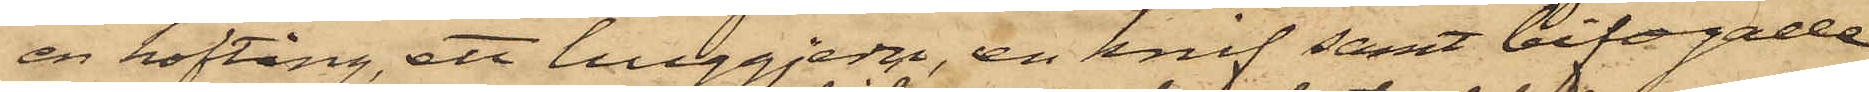en hoftång, ett huggjern, en knif samt bifogade
